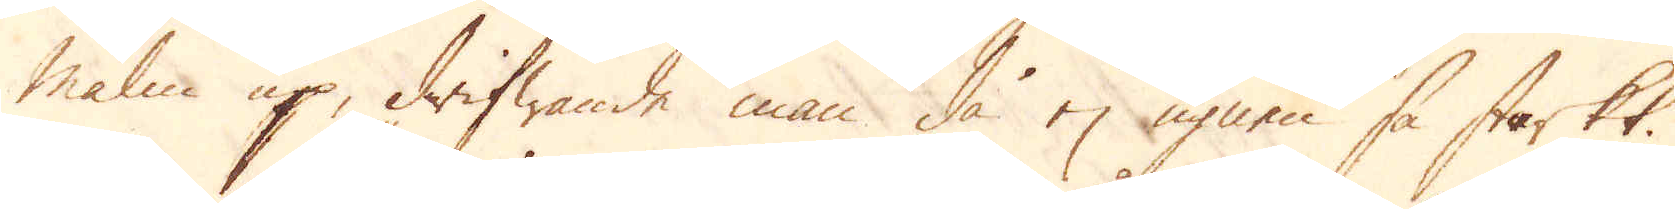malm up, drifwande man då ej ugnen så starkt.
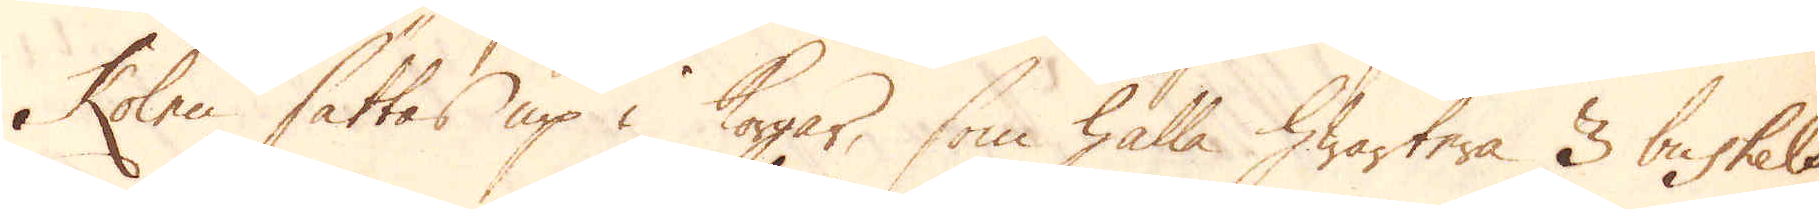Kolen sättas up i korgar, som hålla hwartera 3 buskels
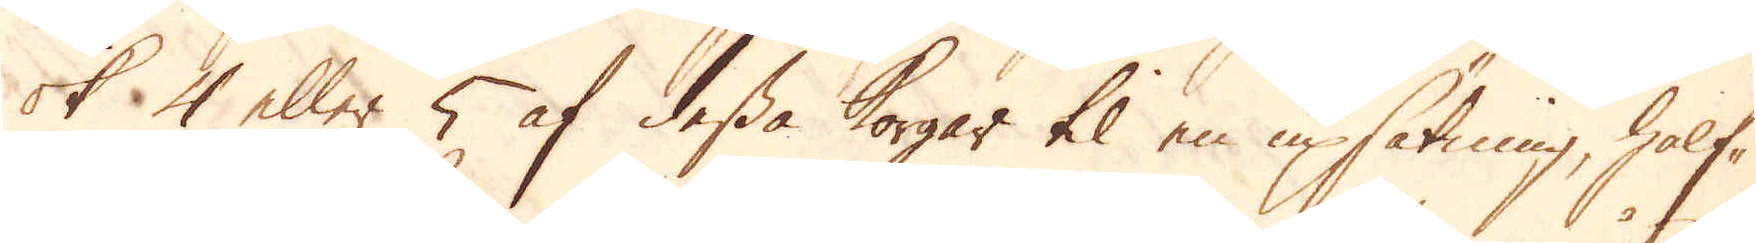ok 4 eller 5 af dessa korgar til en upsätning, half-
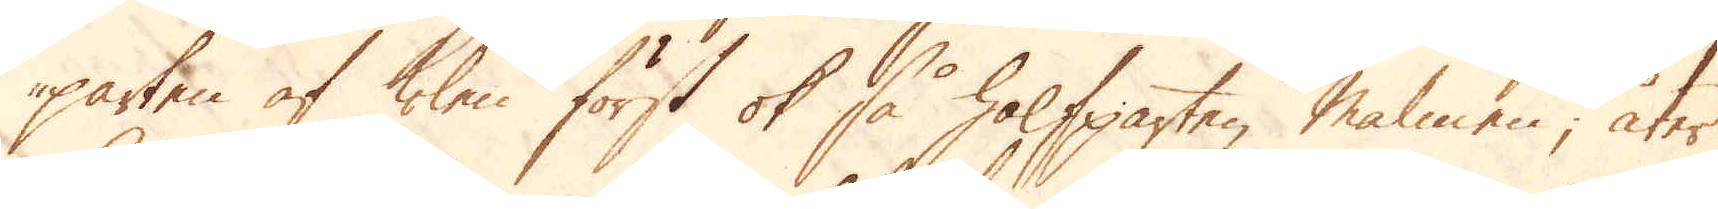parten af kolen först ok så halfparten malmen; åter
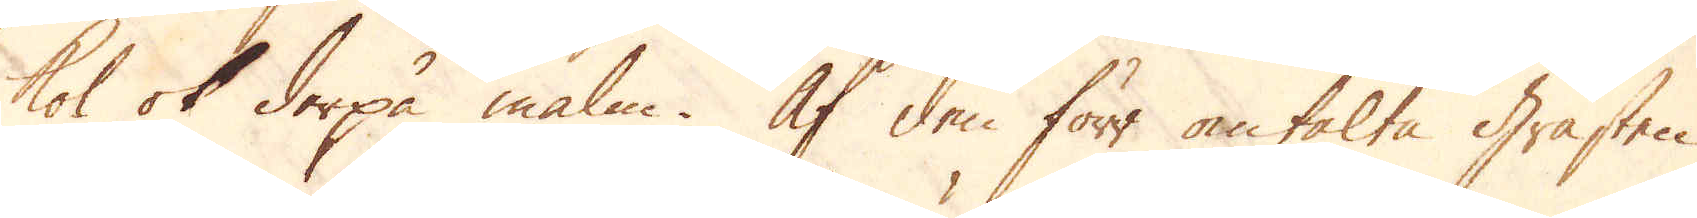kol ok derpå malm. Af den förr omtalte Gråsten
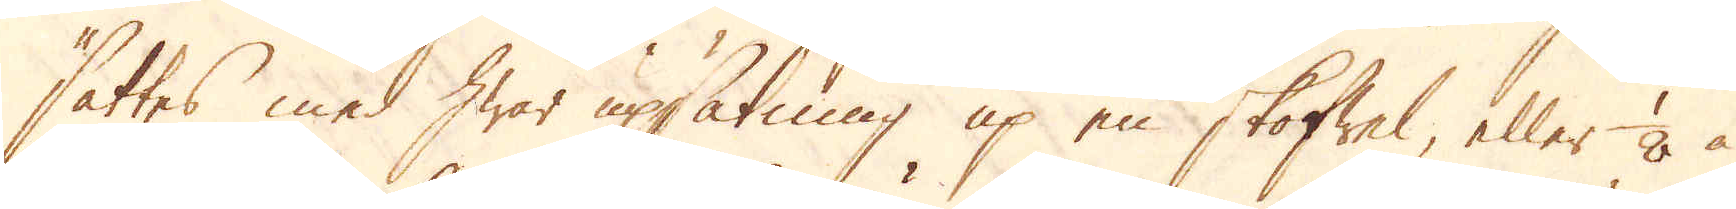sättes med hwar upsätning up en skoffel, eller 1/8 à
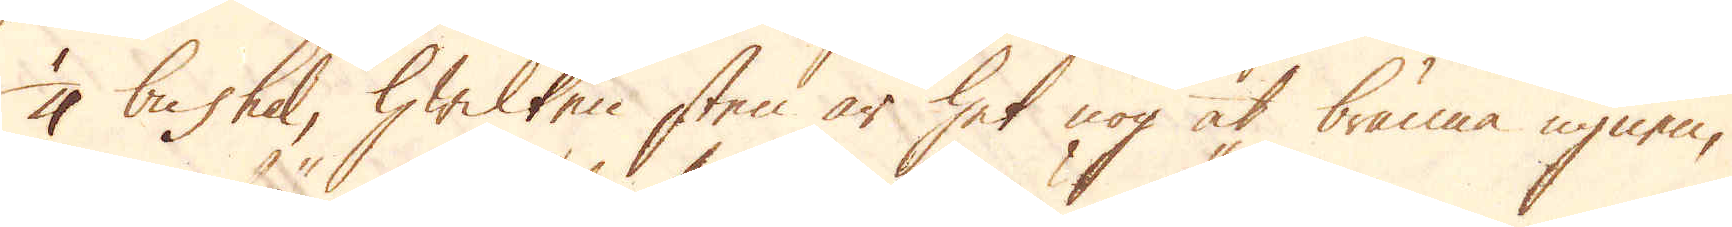1/4 bushel, hwilken sten är het nog at bränna ugnen,
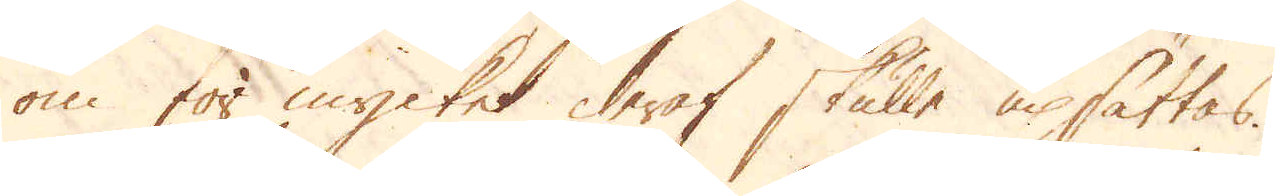om för mycket deraf skulle upsättas.
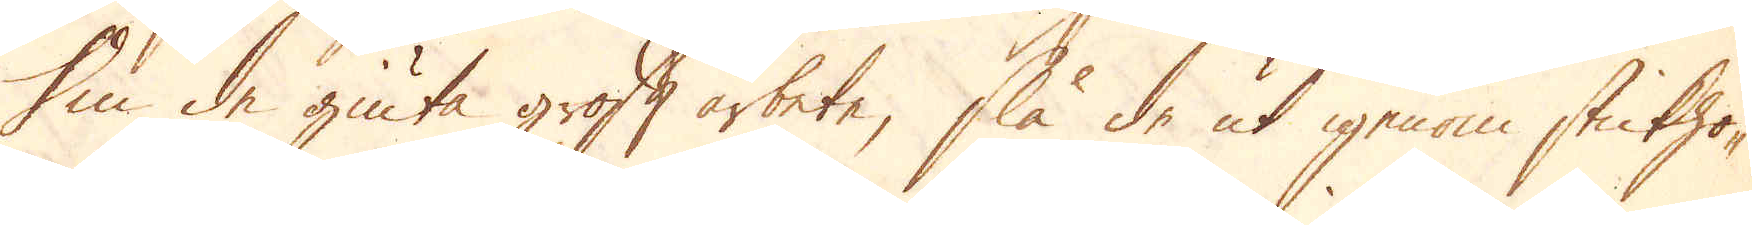Om de giuta groft arbete, slå de ut igenom stickho-
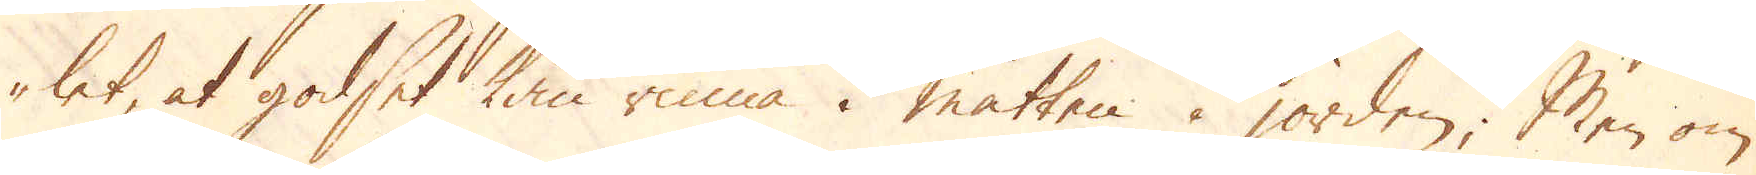let, at godset kan rinna i måtten i jorden. Men om
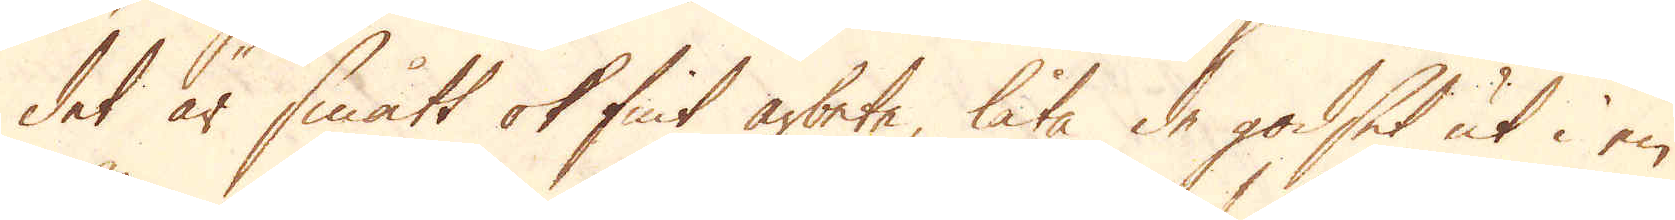det är smått ok fint arbete, låta de godset ut i en
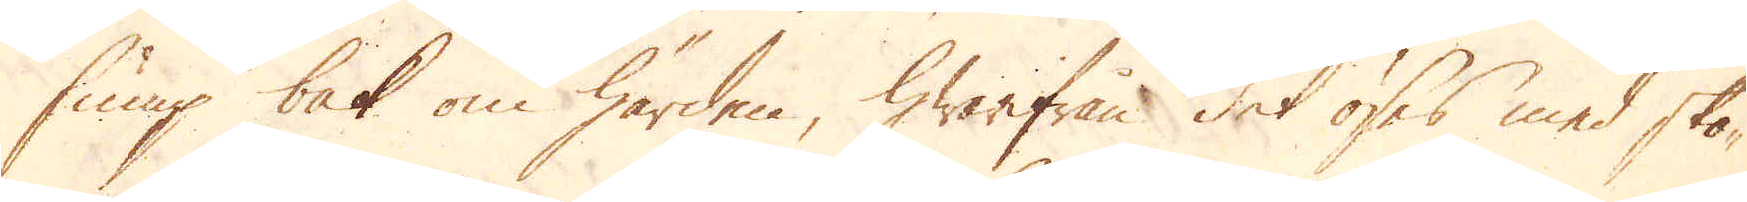sump bak om härden hwarifrån det öses med sko-
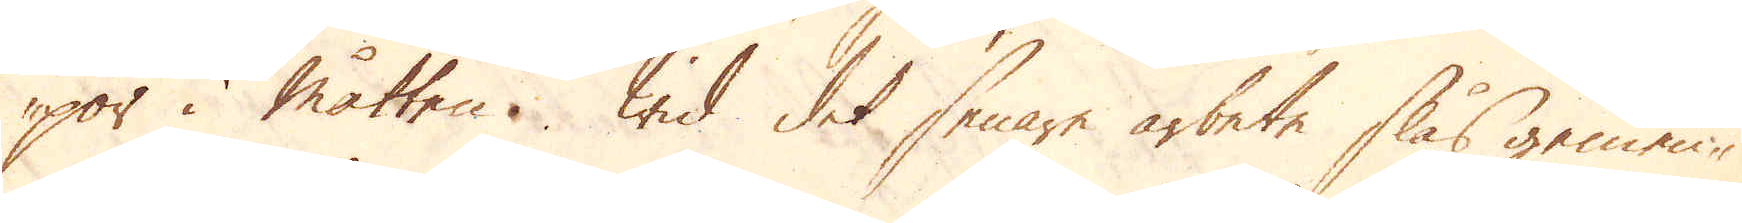por i måtten. Wid det senare arbete slås gemen-
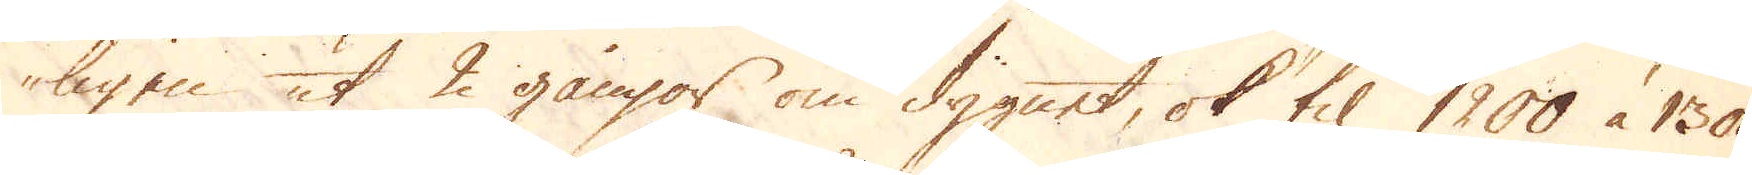ligen ut 2 gångor om dygnet, ok til 1200 à 1300
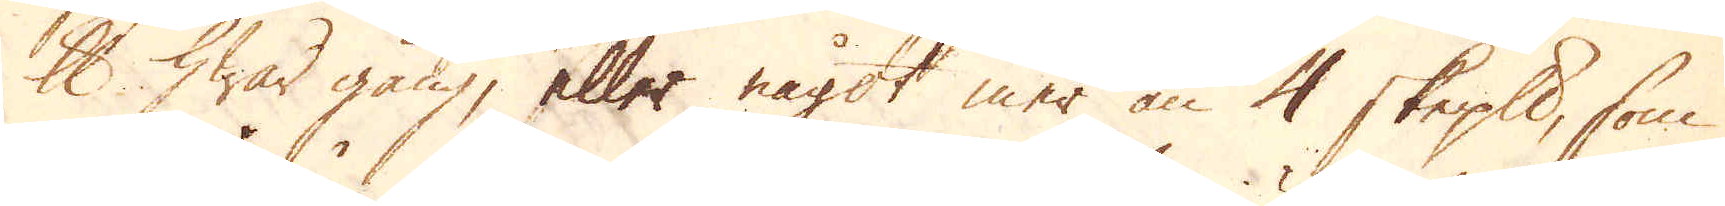skålpund hwar gång, eller något mer än 4 skeppund, som
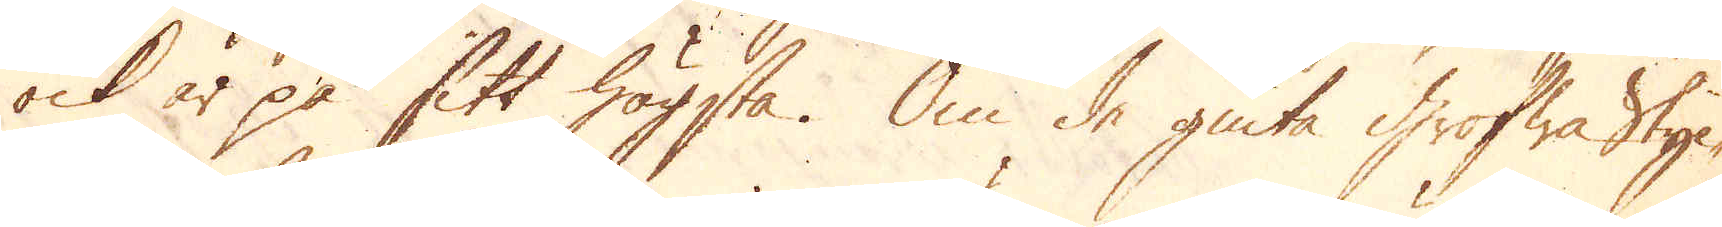ock är på sitt högsta. Om de giuta Grofwa sty-
